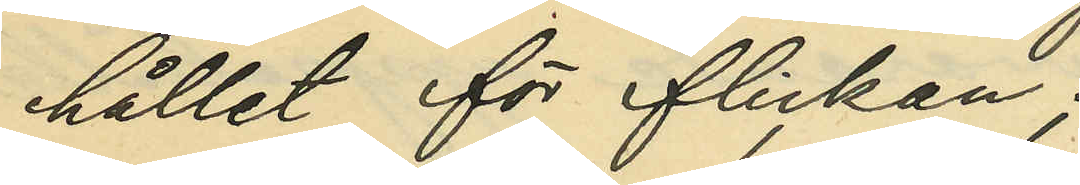hållet för flickan;
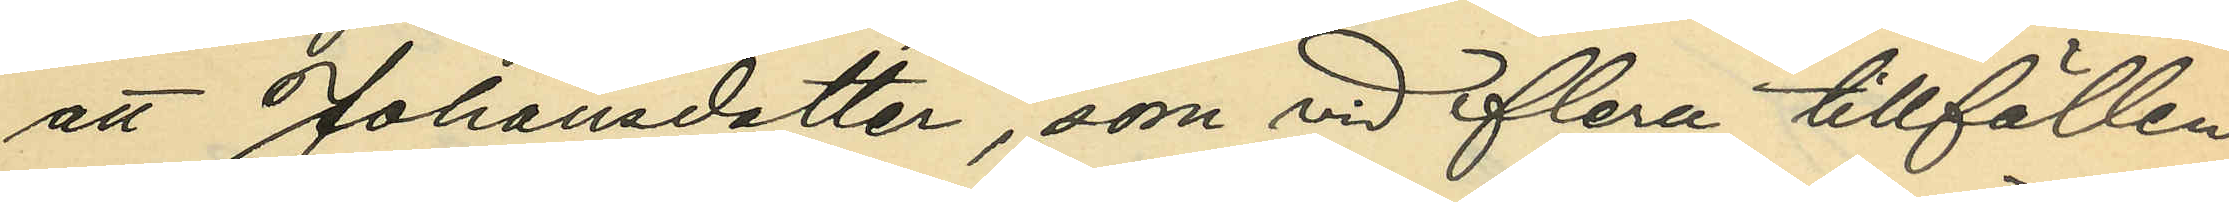att Johansdotter, som vid flera tillfällen
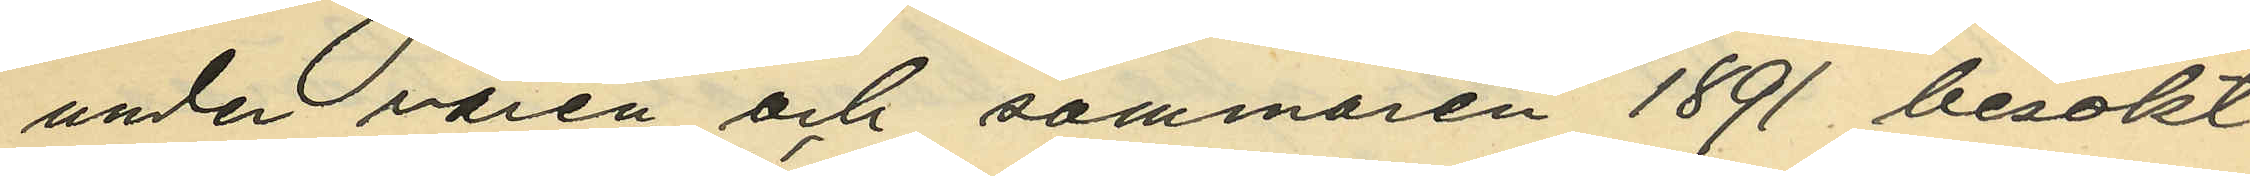under våren och sommaren 1891 besökt
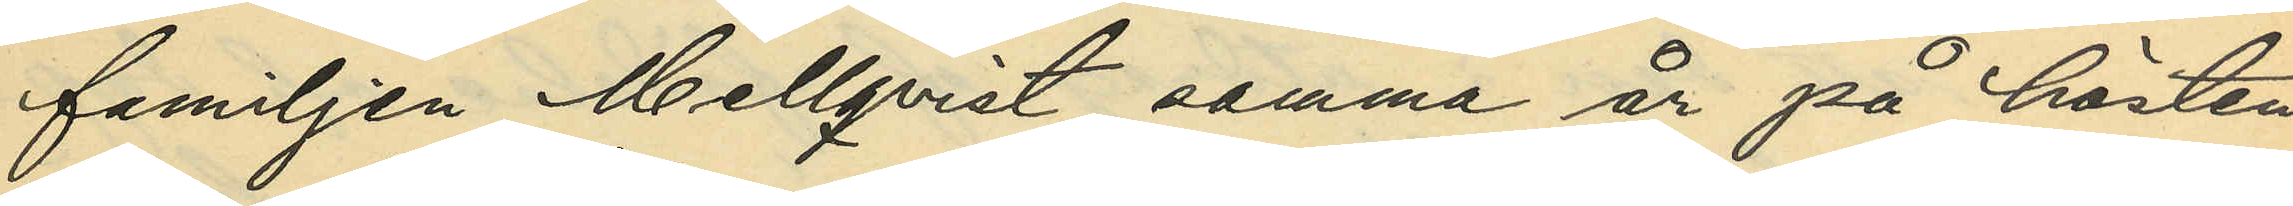familjen Mellqvist, samma år på hösten
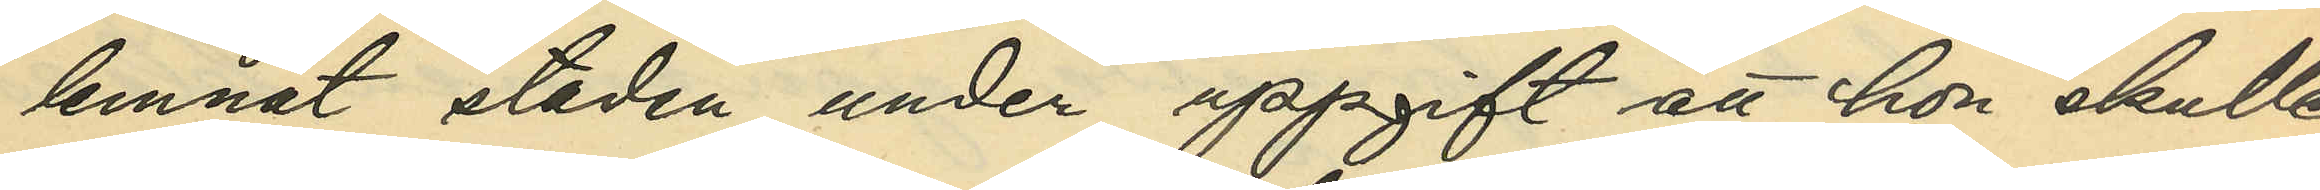lemnat staden, under uppgift att hon skulle
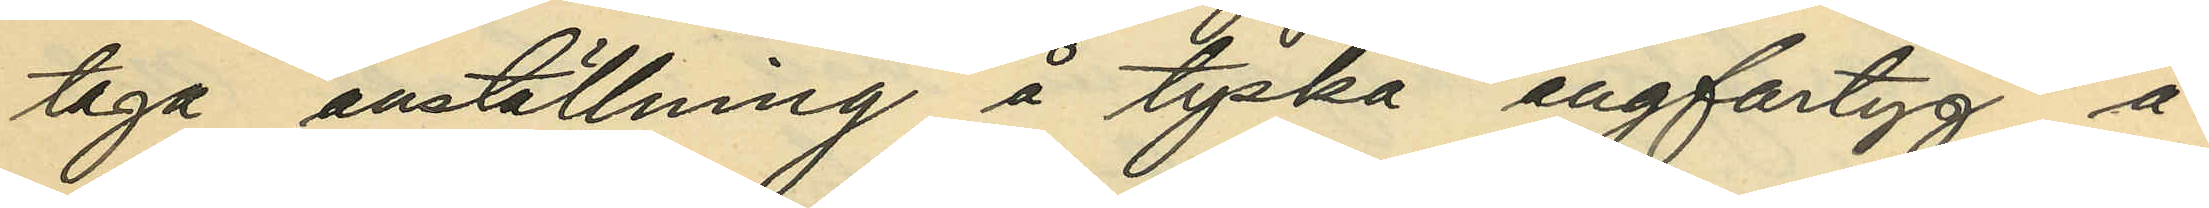taga anställning å tyska ångfartyg, å
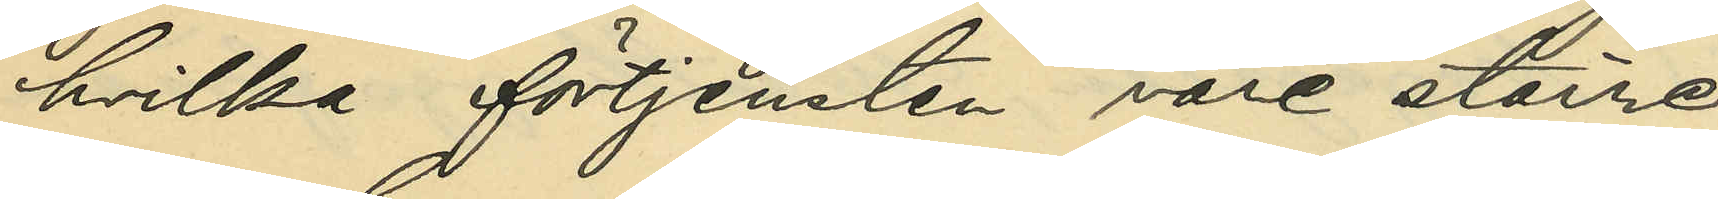hvilka förtjensten vore större;
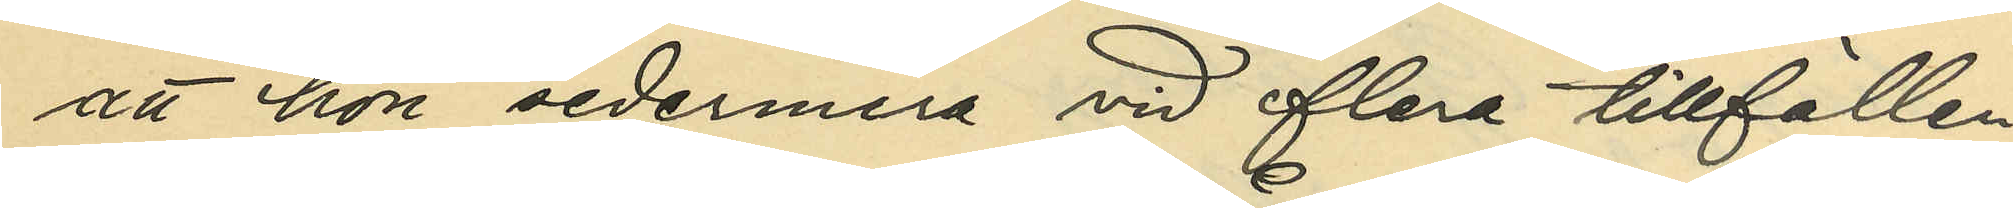att hon sedermera vid flera tillfällen
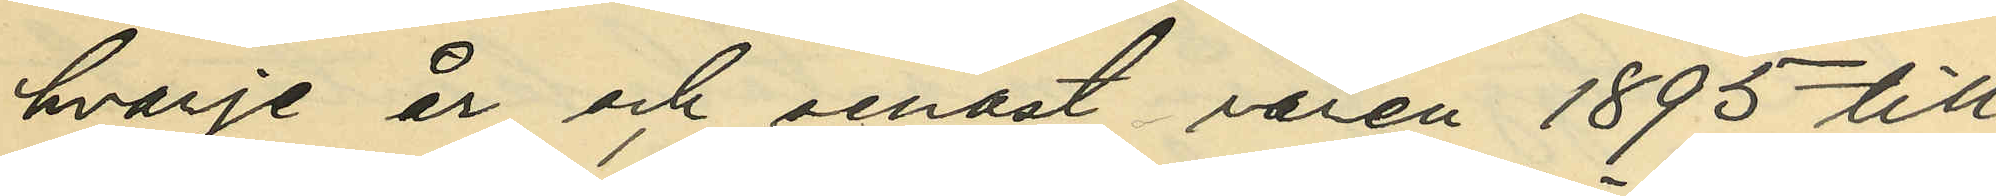hvarje år och senast våren 1895 till¬
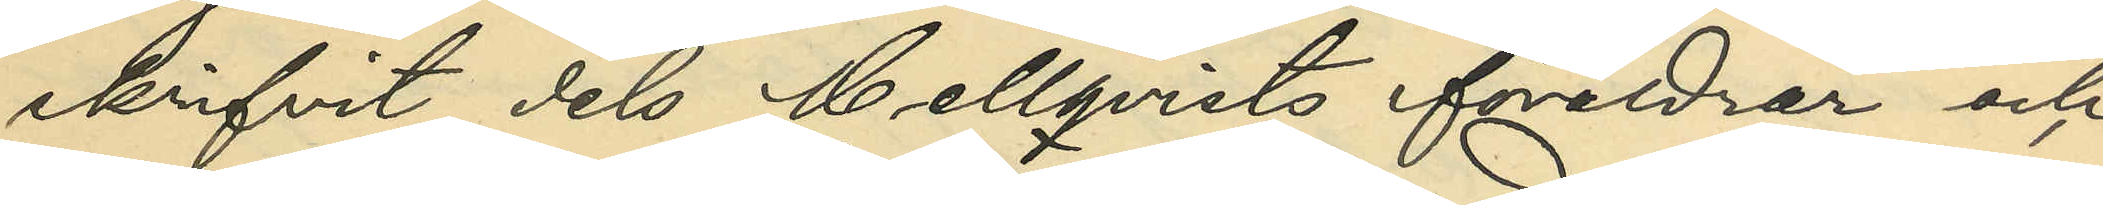skrifvit dels Mellqvists föräldrar och
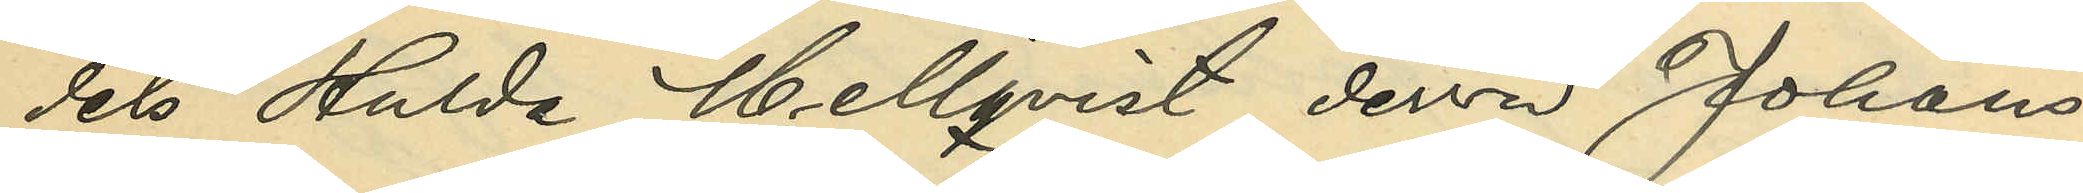dels Hulda Mellqvist, dervid Johans¬
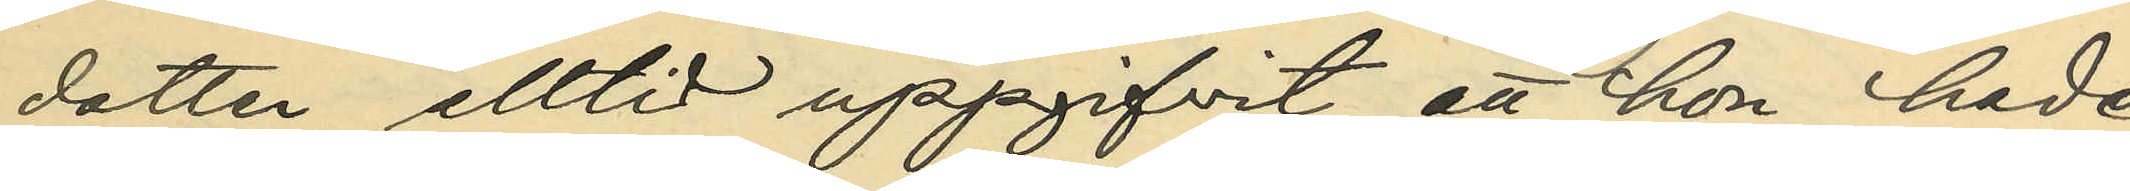dotter alltid uppgifvit att hon hade
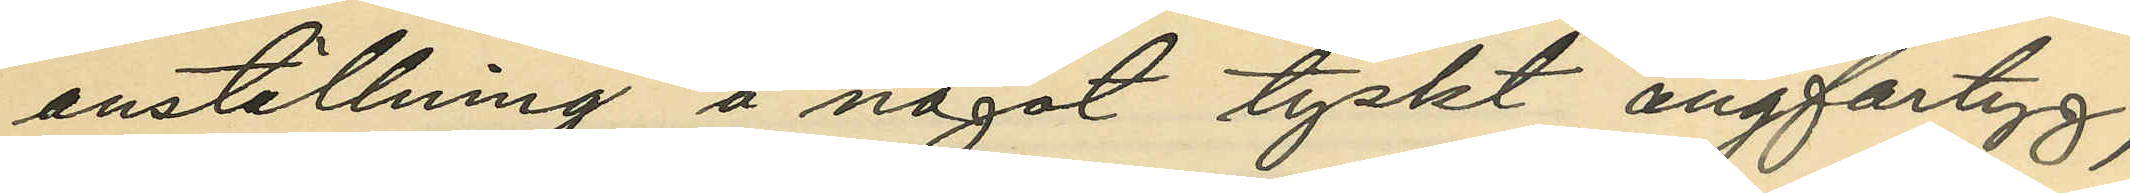anställning å något tyskt ångfartyg;
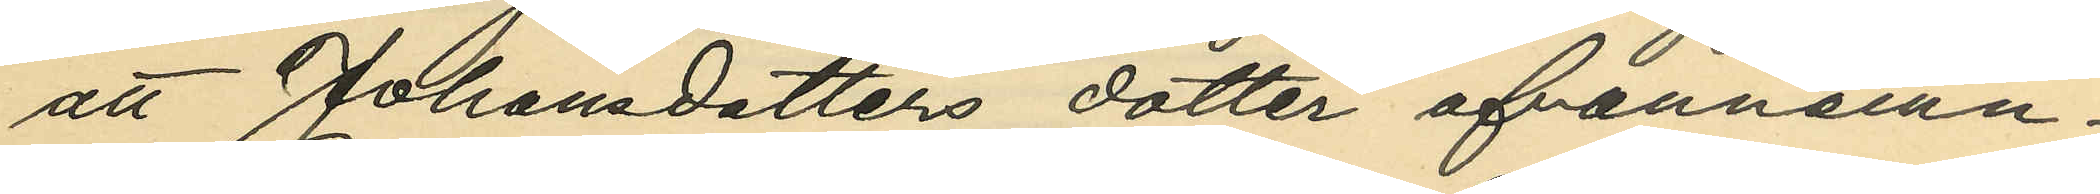att Johansdotters dotter ofvannämn¬
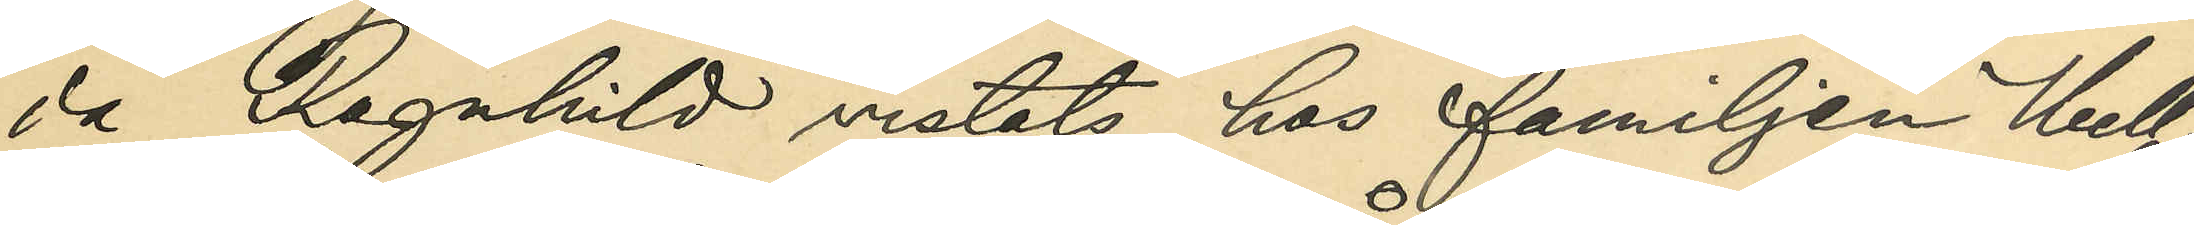da Ragnhild vistats hos familjen Mell¬
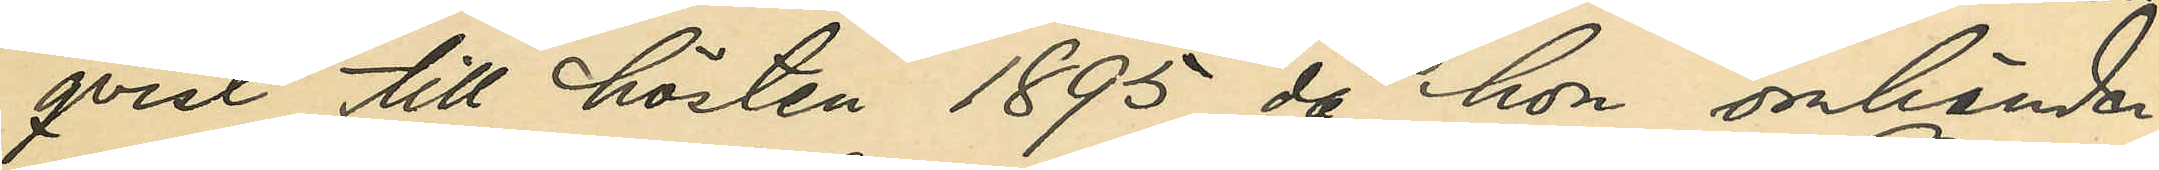qvist till hösten 1895, då hon omhänder¬
